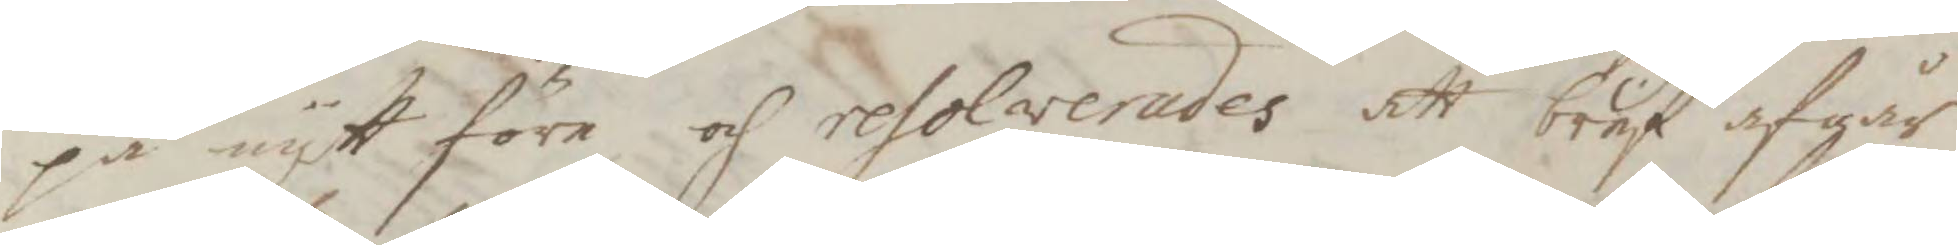på nytt före, och resolverades att bref afgår
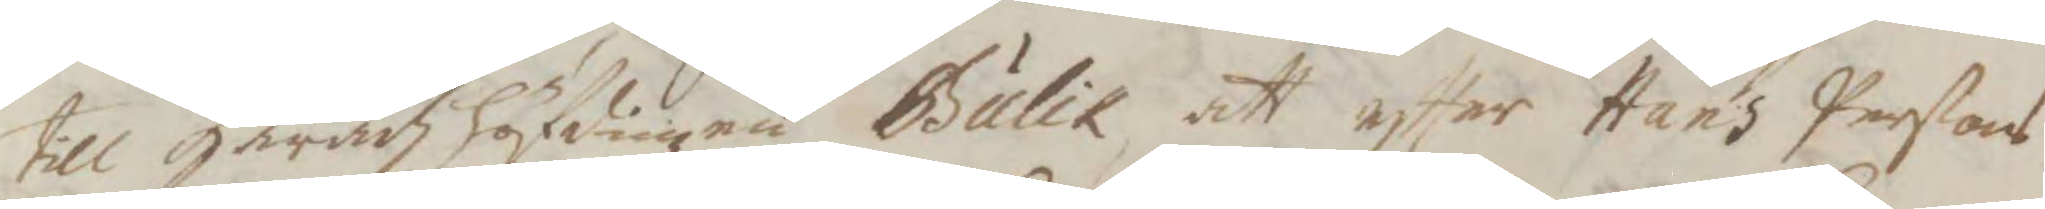till Häradzhöfdingen Bulik att eftter Hans Perßons
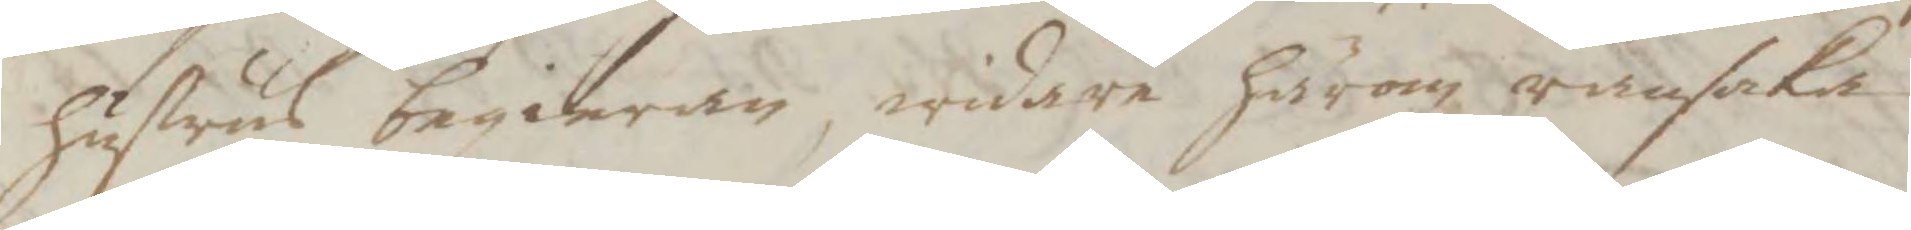hustrus begieran, widare härom ransaka.
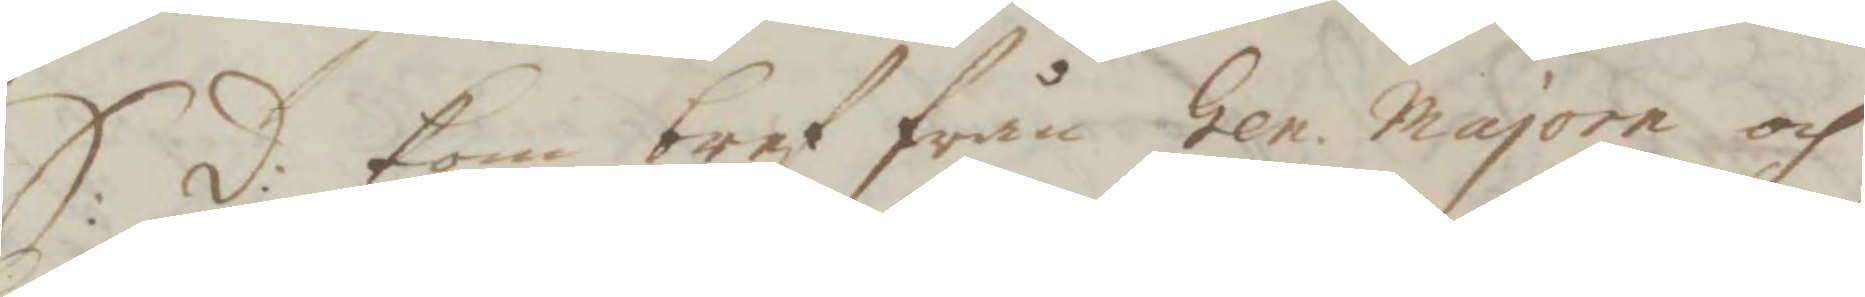S:d: kom bref från Gen. majore och
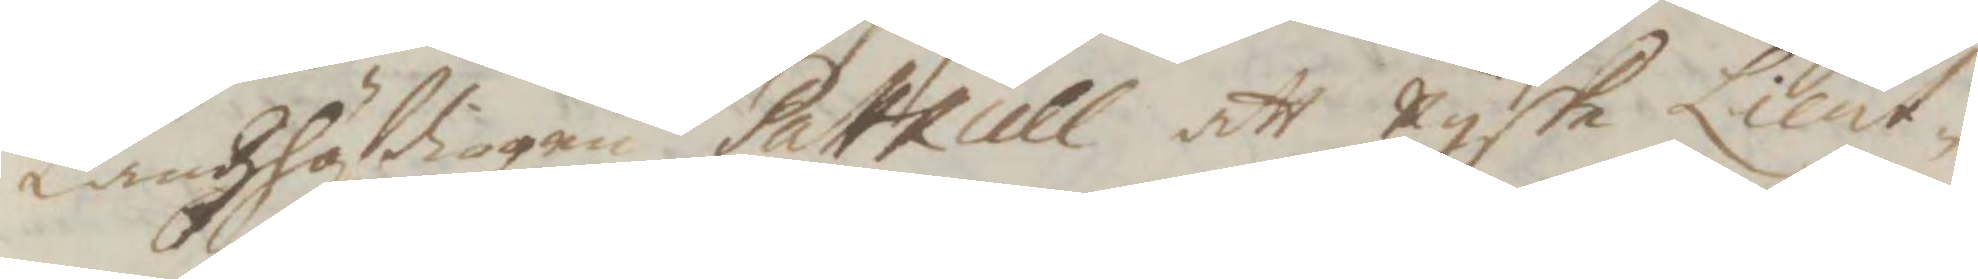Landzhöfdingen Patkull att ryske Lient¬
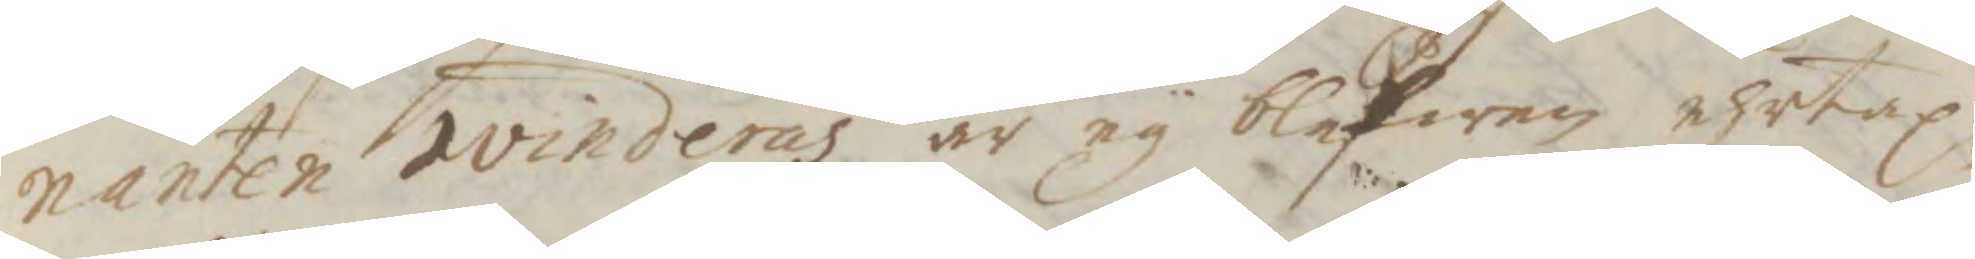nanten Ivinderås är ey blefwen ehrtap¬
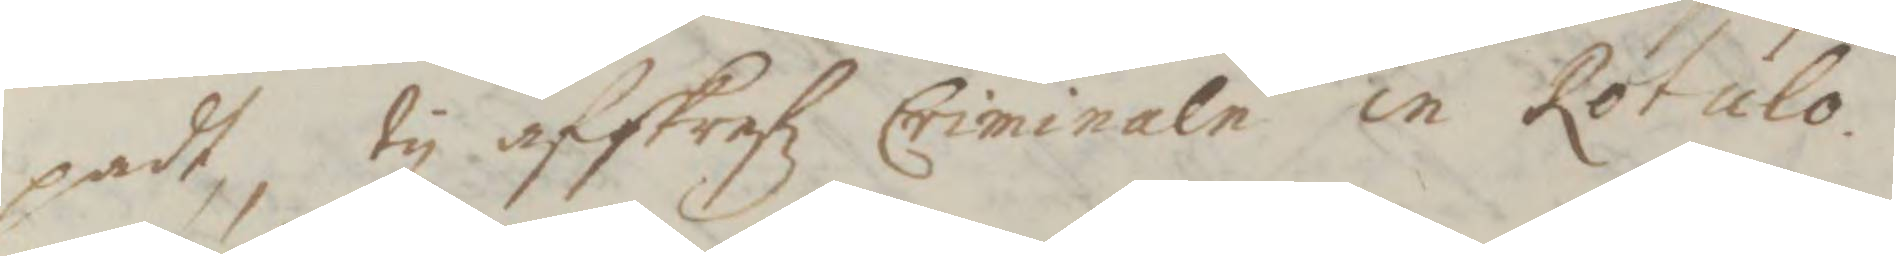padt, ty afstrafz Criminale in Rotulo.
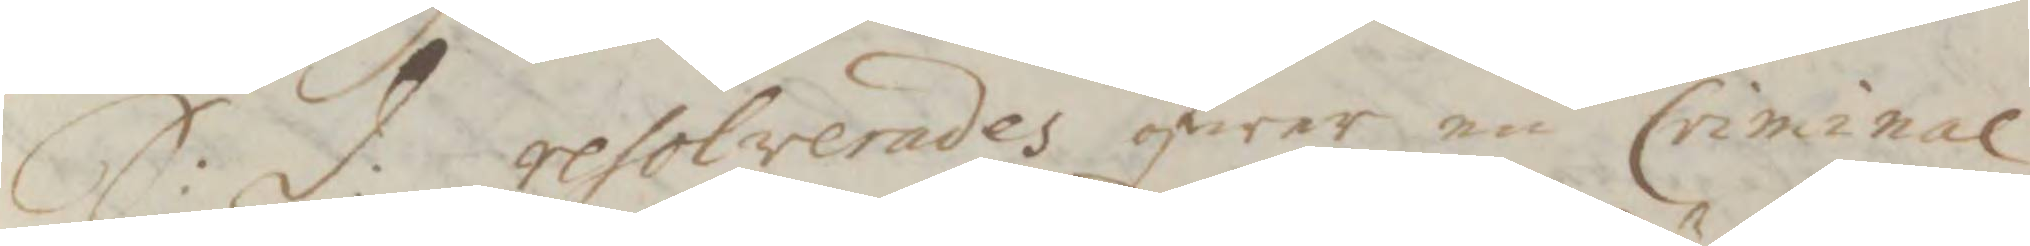S:d: resolverades öfwer en Criminal
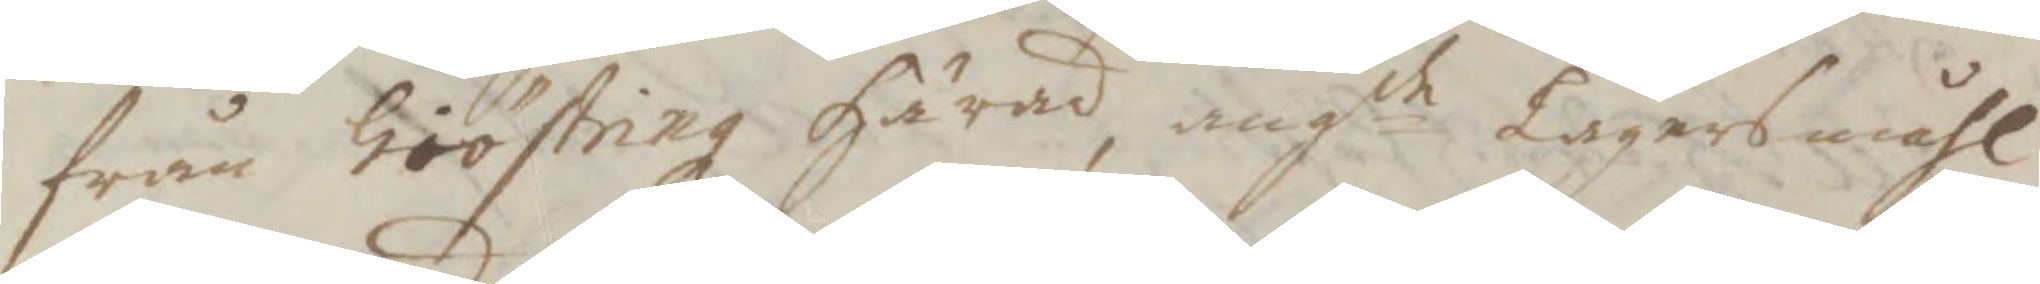från Giöstringz Härad, angde Lägermåhl
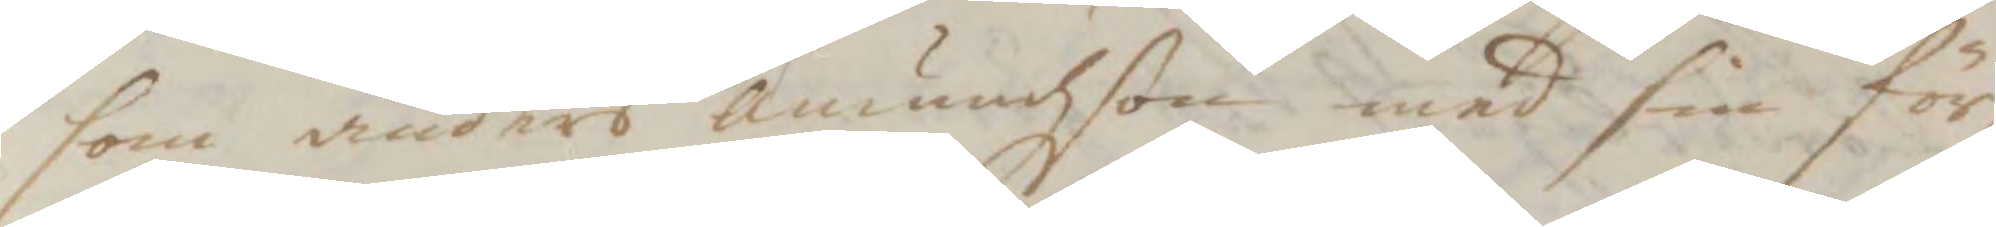som ander amundzson med sin för¬
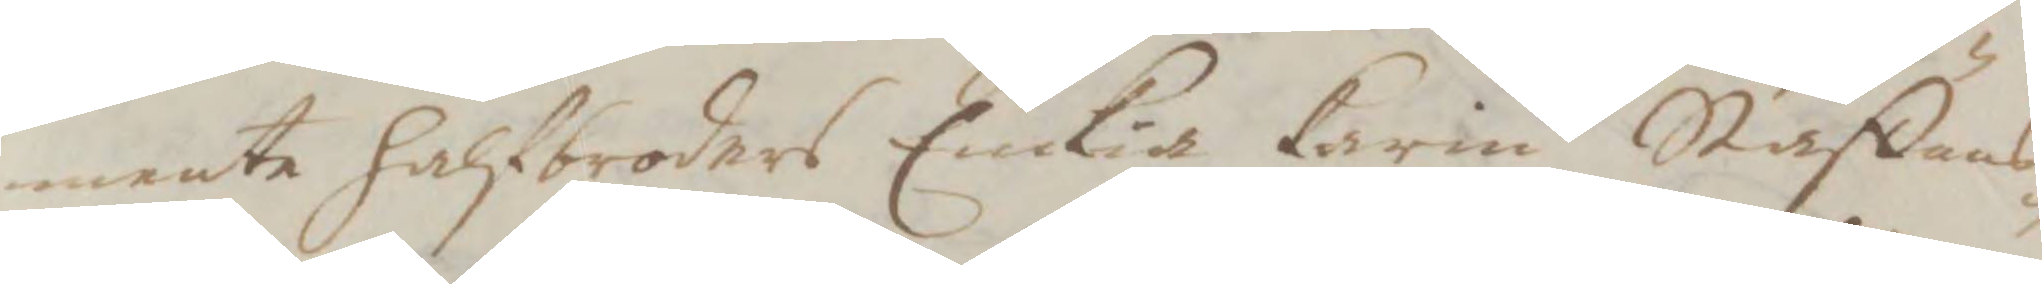mente halfbroders Enkia Karin Staffans¬
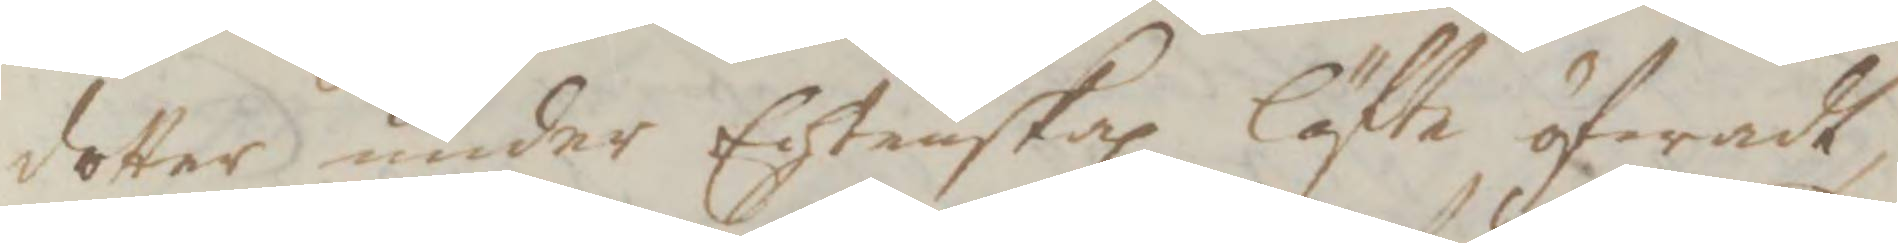dotter under  Echtenskapz löfte öfwadt,
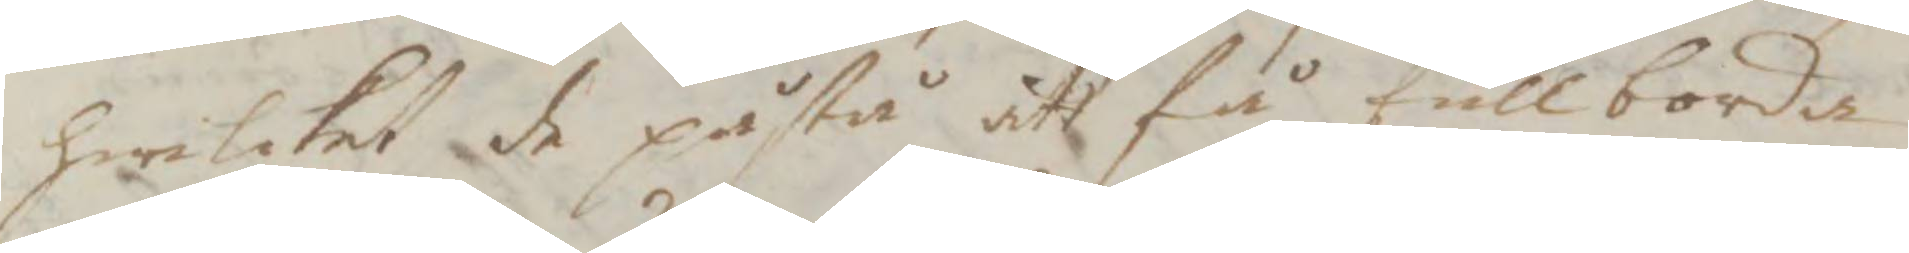hwilket de påstår att få fullborda
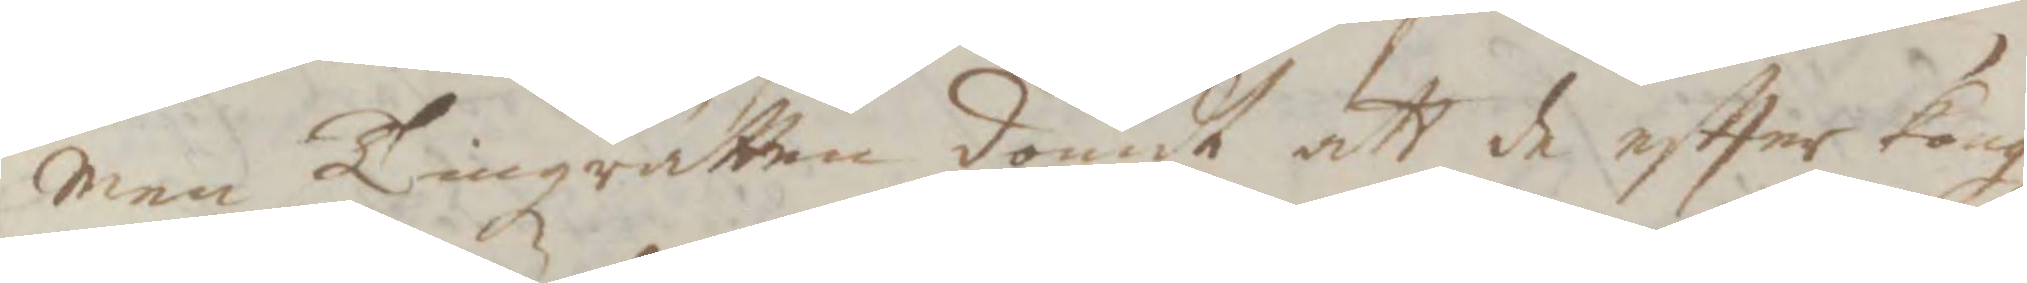men Tingzrätten dömdt att de eftter Kongl
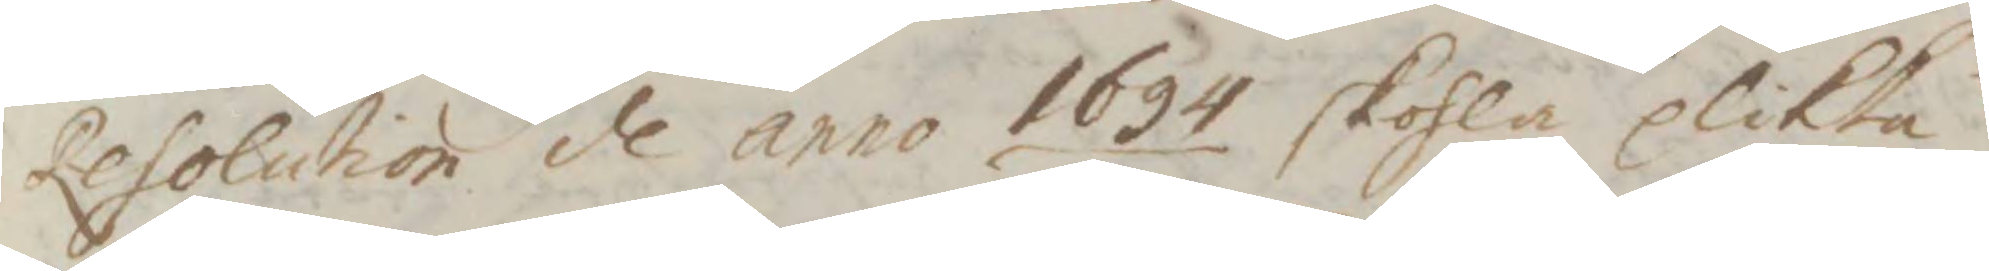Resolution d anno 1694 skolha plikta
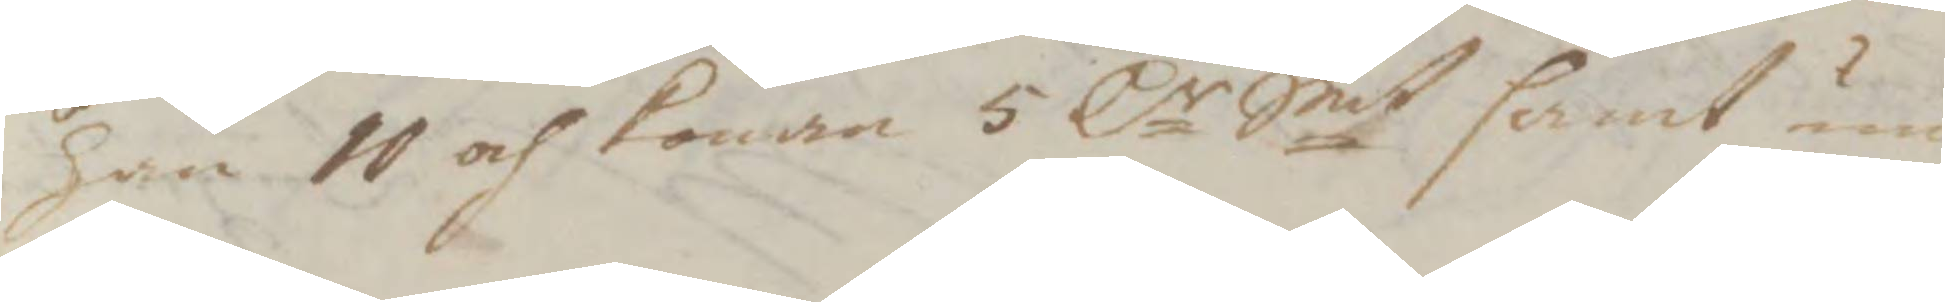han 10 och konan 5 Cr Smt samt um
